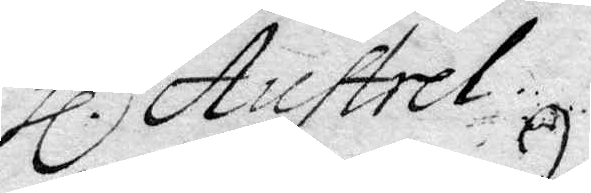Hl.r Austrel.
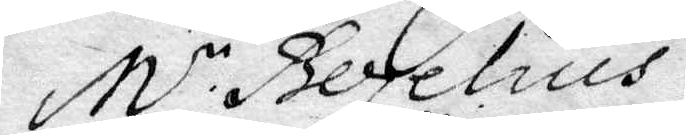M.r Bezelius.
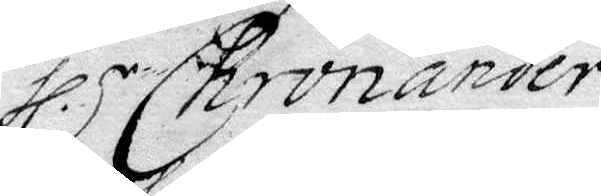Hl.r Chronander.
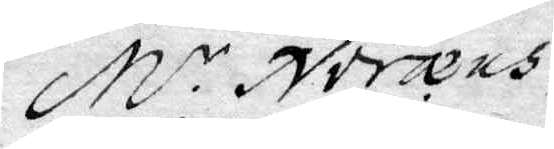M.r Noreus.
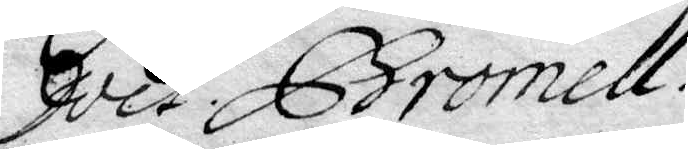doct. Bromell.
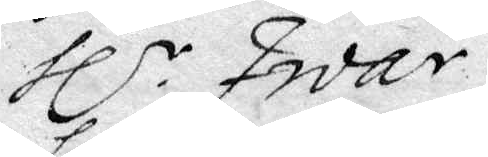Hl.r Iivar.
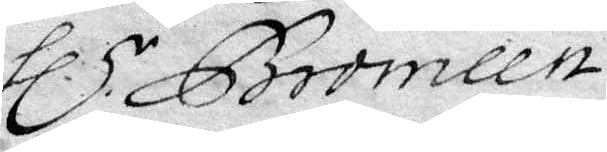Hl.r Bromlln.
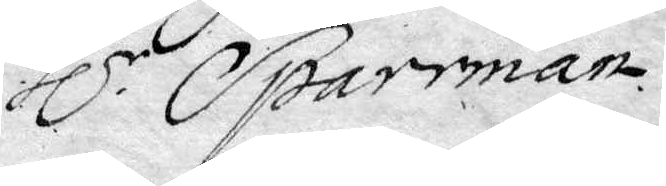Hl.r Sparrman.
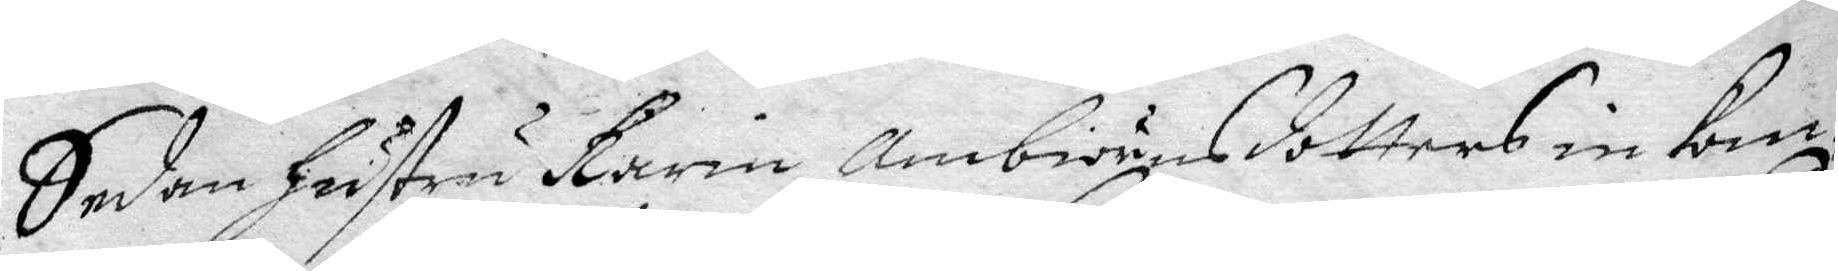Sedan Hustru Karin Ambiörnsdotters inkom¬
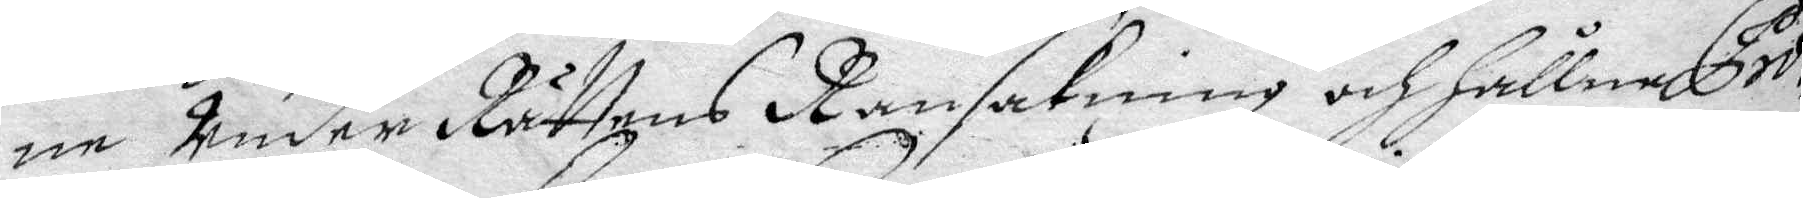ne Under Rättens Ransakning och Hållne Pro¬
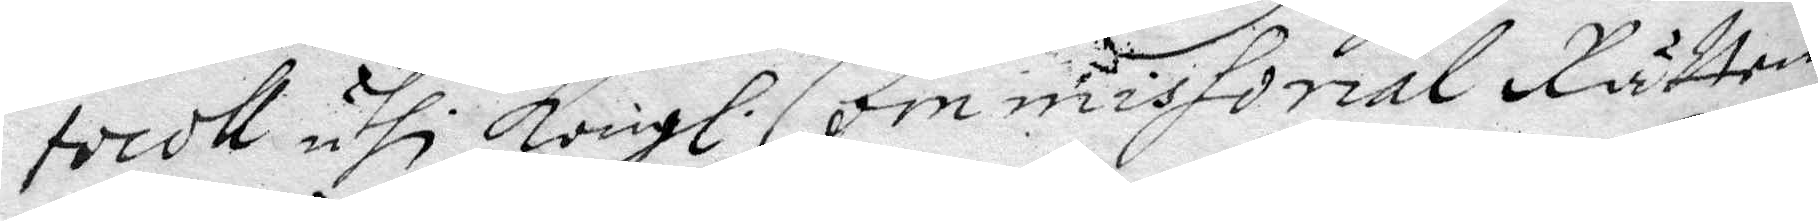tocoll uthi Kongl. Commissorial Rätten
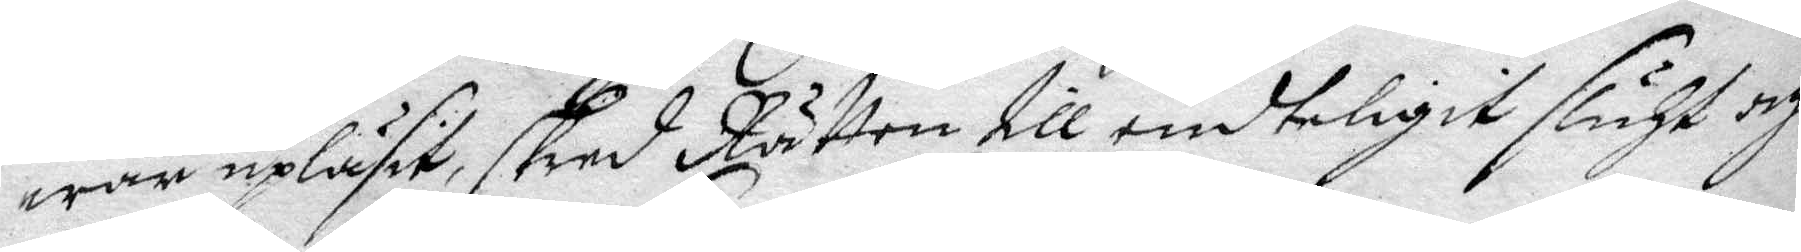war upläsit skred Rätten till endteligit sluth och
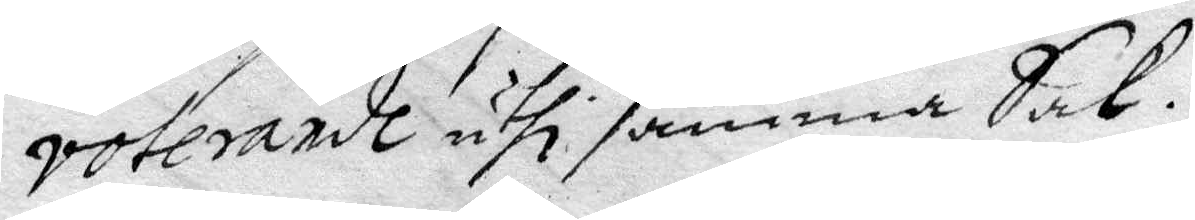voterade uthi samma Sak.
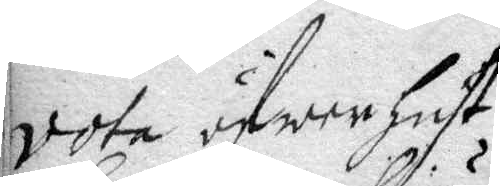vota öfwer Hust.
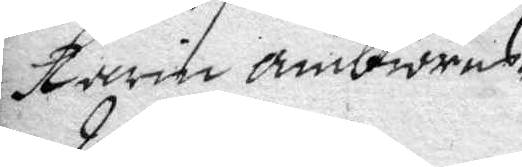Karin ambiörns¬
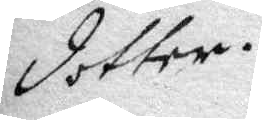dotter.
